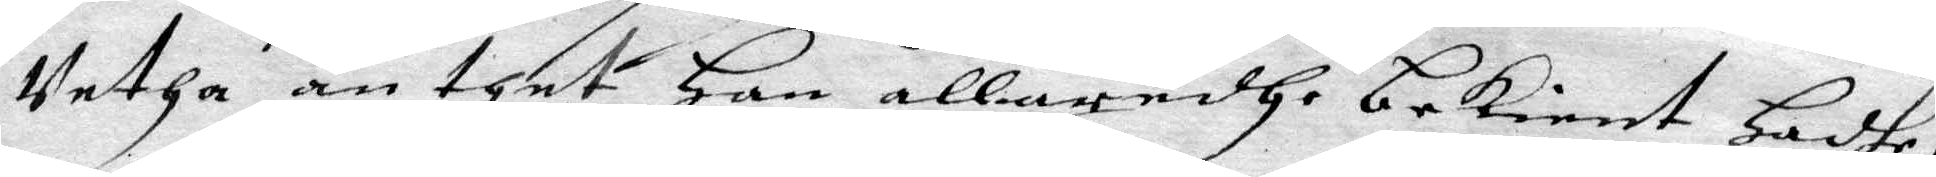Vetha än thet Han allaredhe bekient Hadhe,
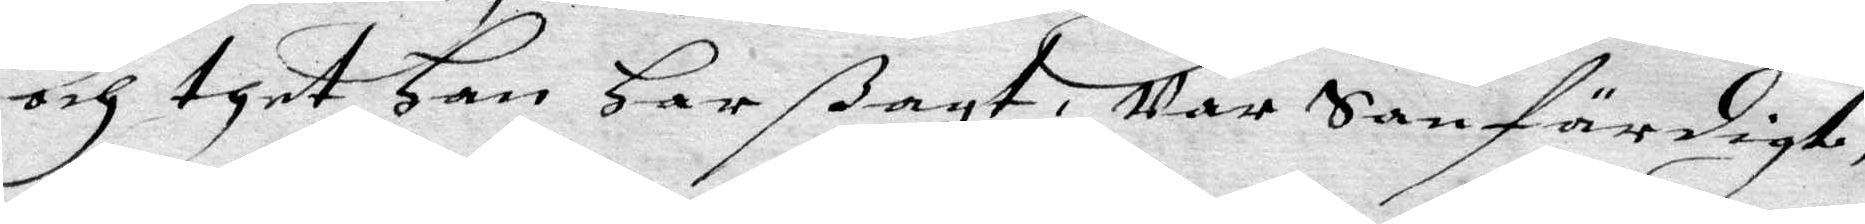och thet Han Har ßagt. War Sanfärdigt,
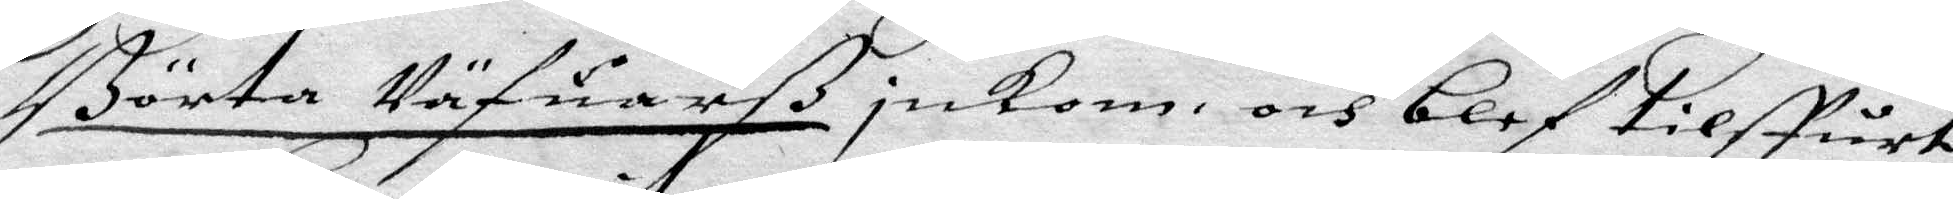Börta Väfuarß inkom och blef tilstårt
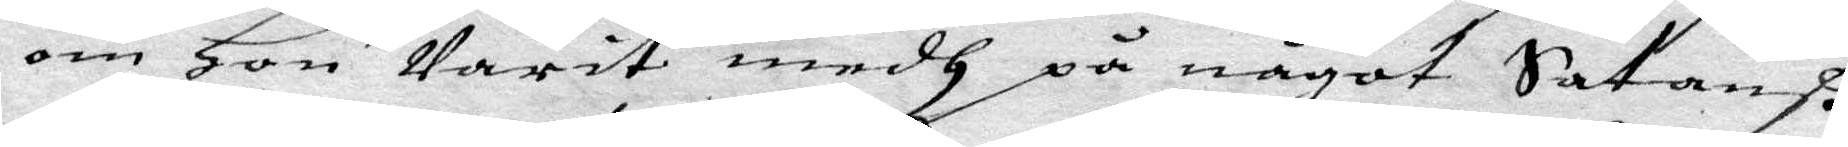om Hon warit medh på något Satanß
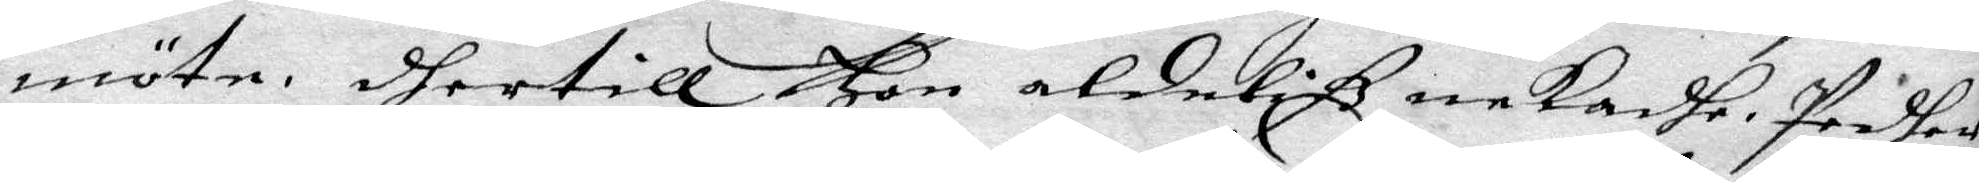möte, dhertill Hon aldeliß nekadhe. Pedher
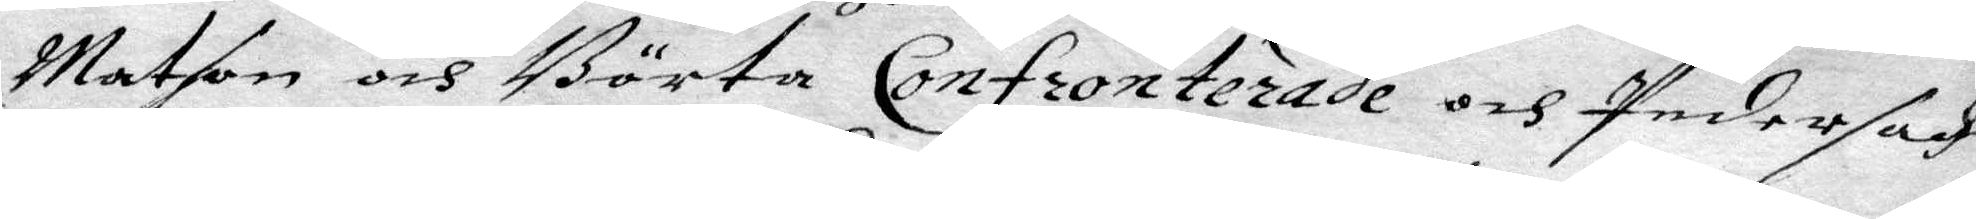Matson och Börta Confronterade och Peder sadhe
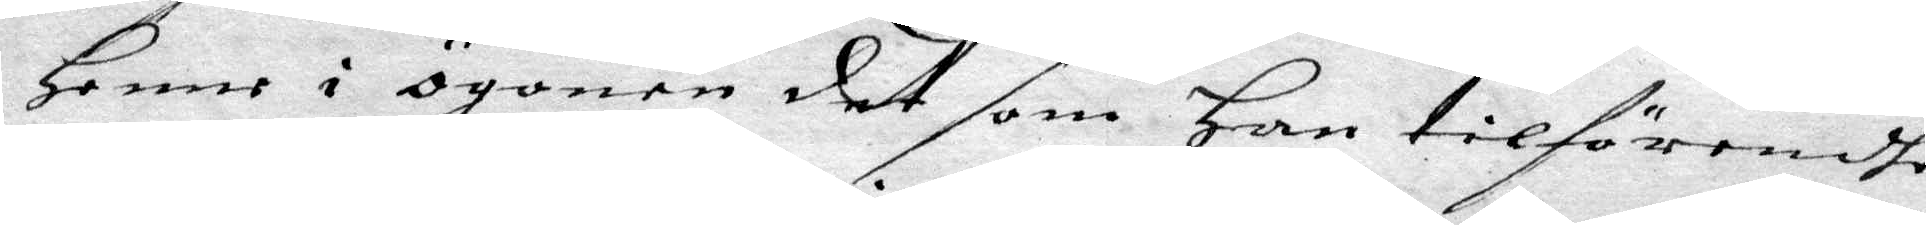Henne i ögonen det som han tilförendhe
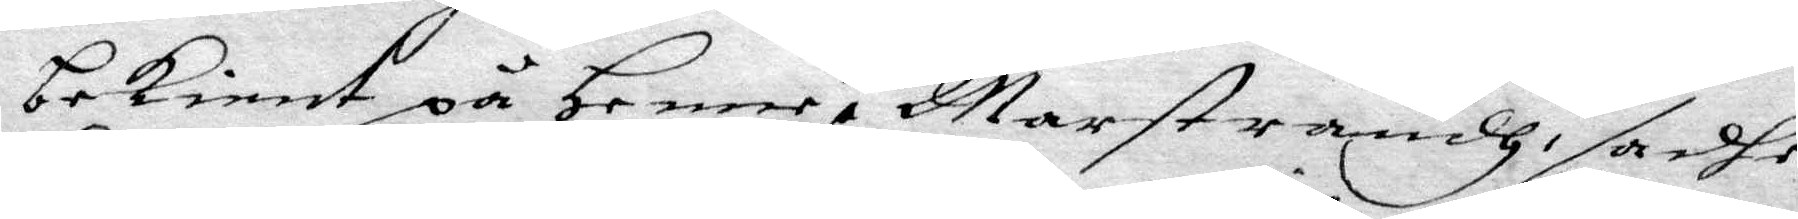bekient på henne i Marstrandh, sadhe
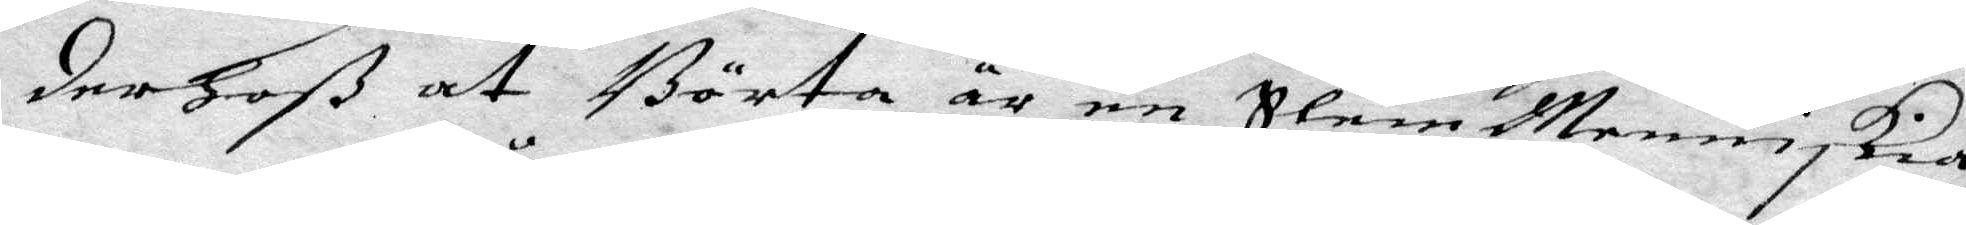derhoß at Börta är en Slem Menniskia,
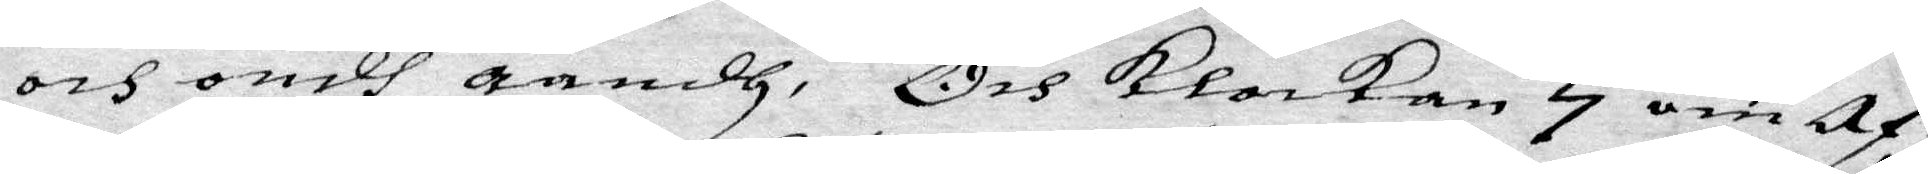och ondh åandh, Och Klockan 7 om Af¬
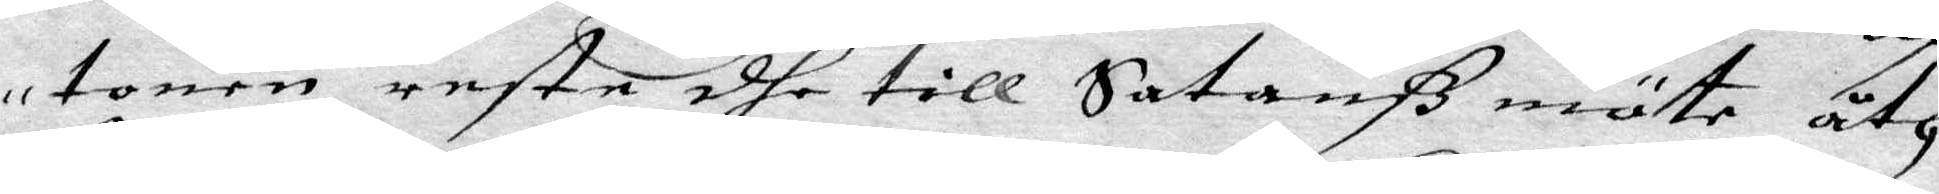tonen reste dhe till Satanß mäte åth
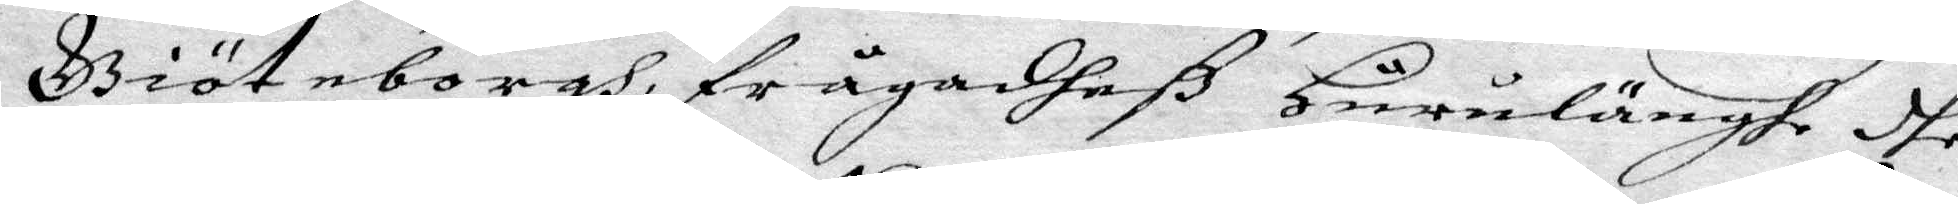Giöteborgh, frågadheß Hurulänghe dhe
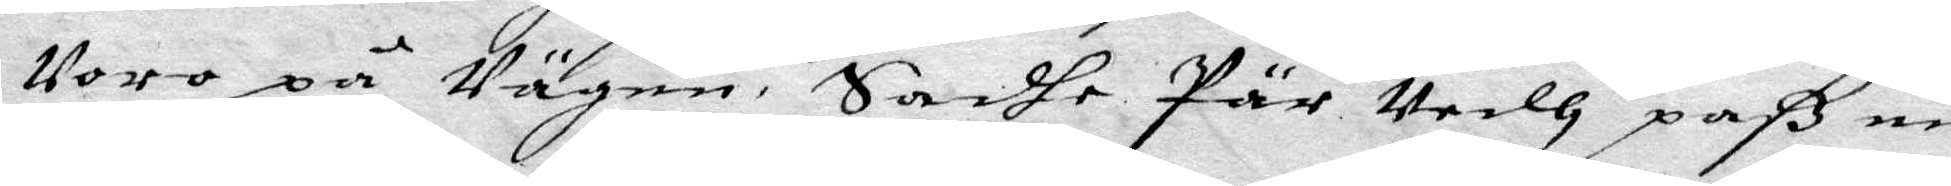Voro på Vägen. Sadhe Pär Vedh paß nn
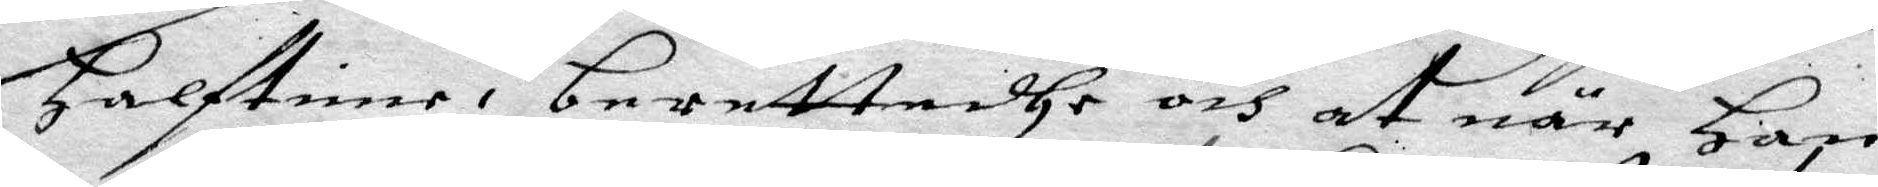Halftime, berättadhe och at, när Han
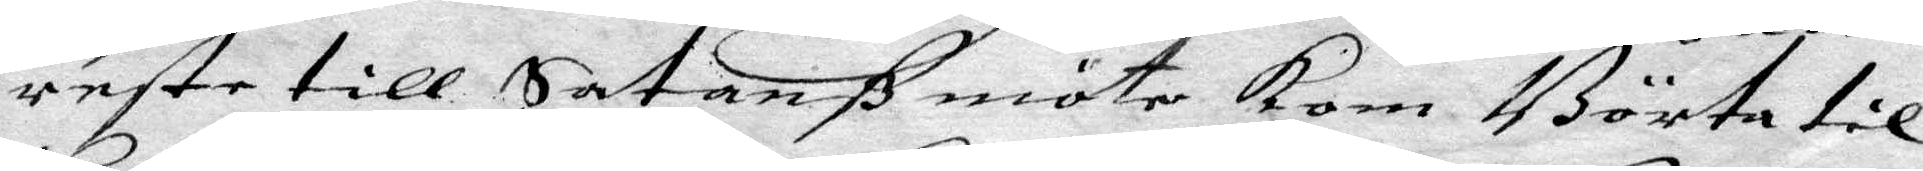reste till Satanß möte kom Börta til
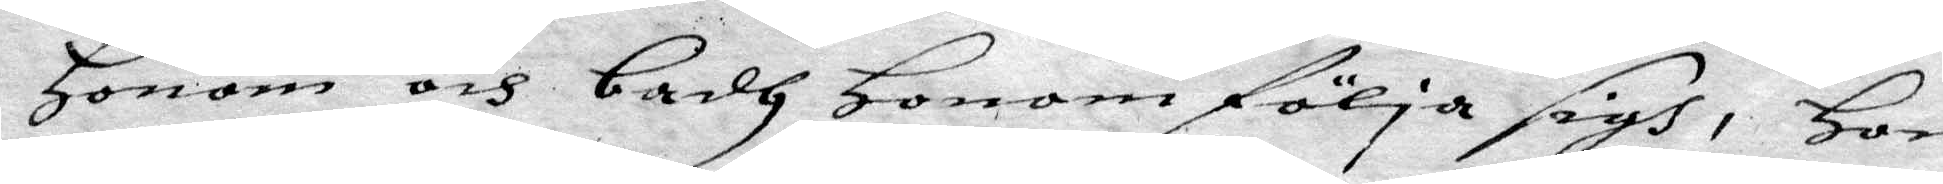Honom och badh Honom följa sigh, Hon
